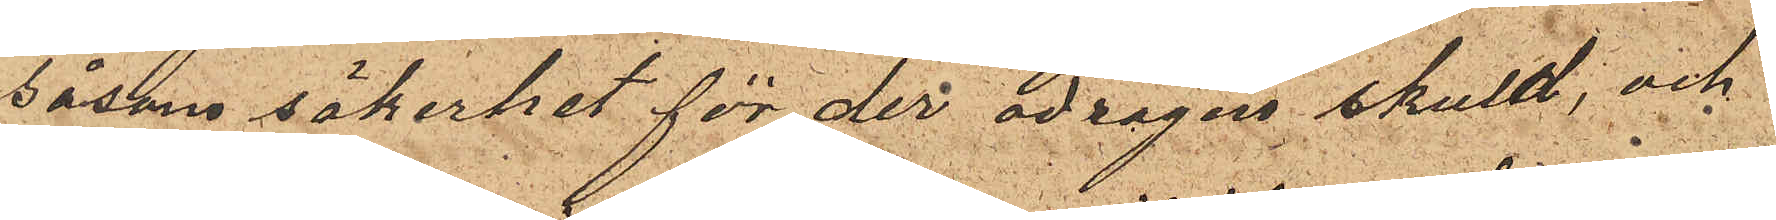såsom säkerhet för der ådragen skuld, och
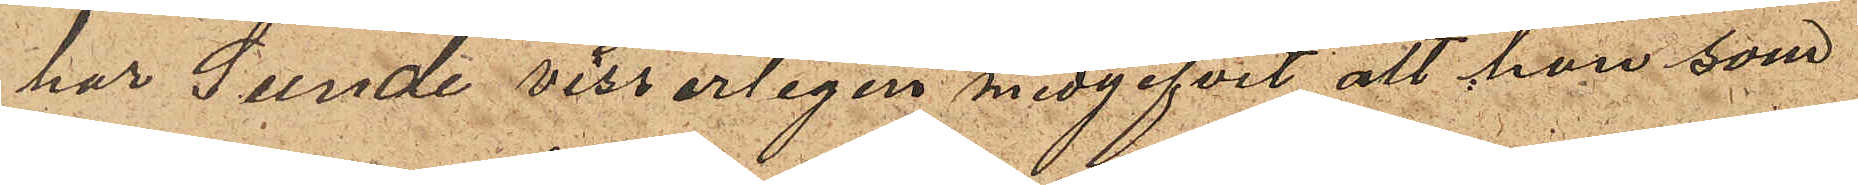har Sunde visserligen medgifvit att han som
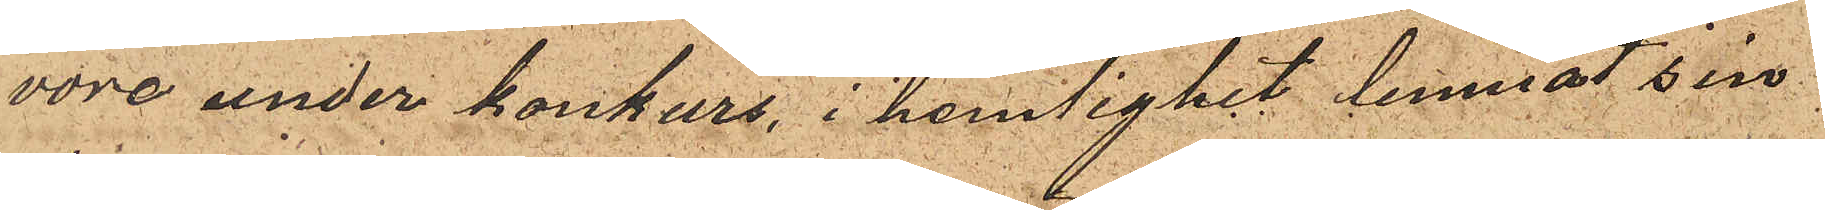vore under konkurs, i hemlighet lemnat sin
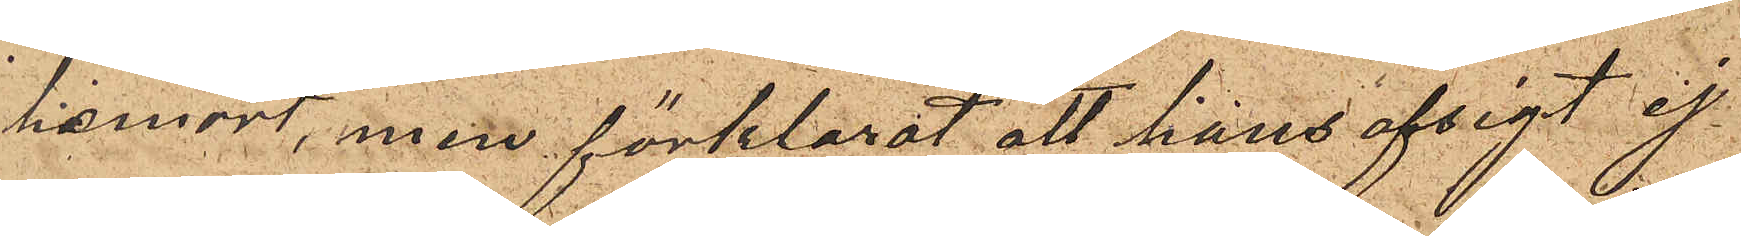hemort, men förklarat att hans afsigt ef
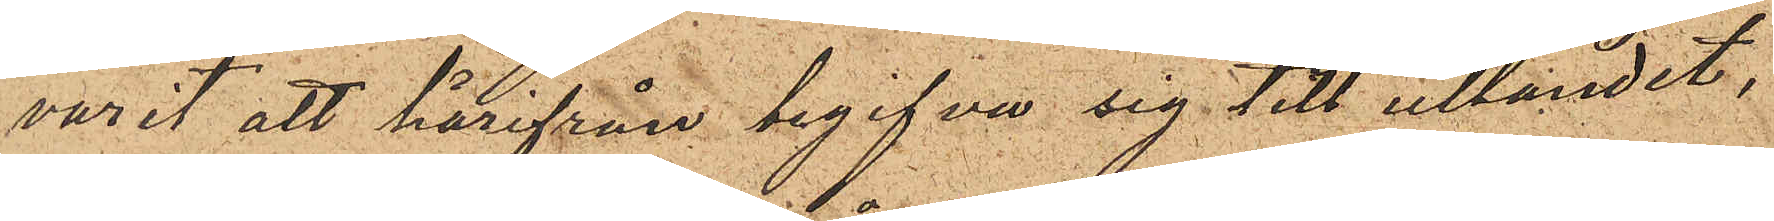varit att härifrån begifva sig till utlandet,
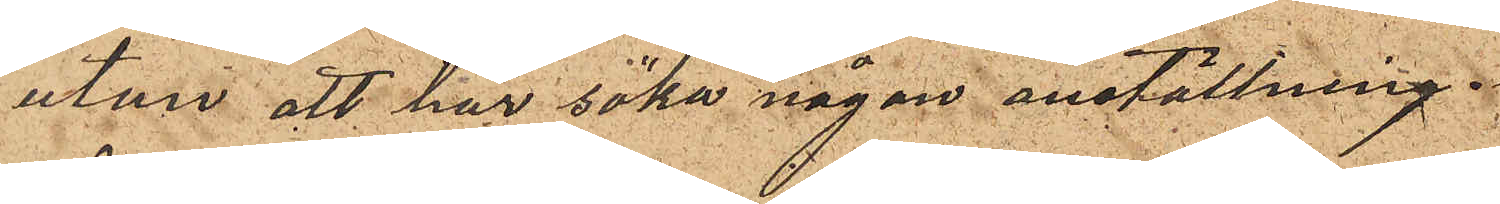utan att här söka någon anställning.
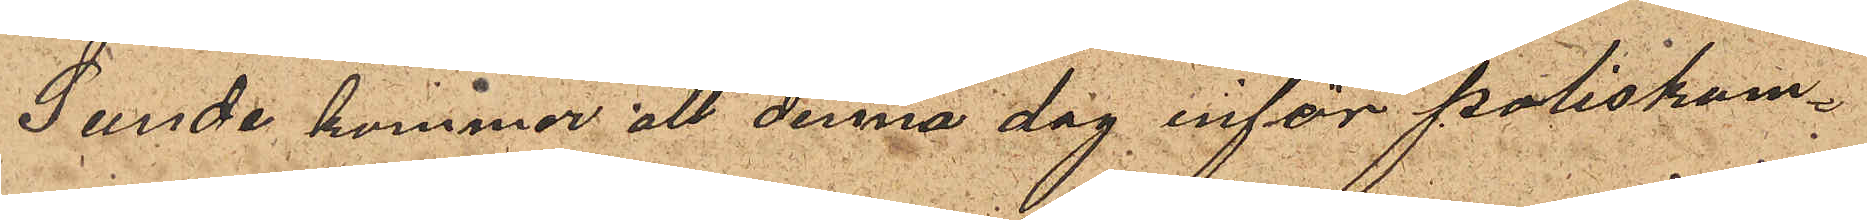Sunde kommer att denna dag inför poliskam¬
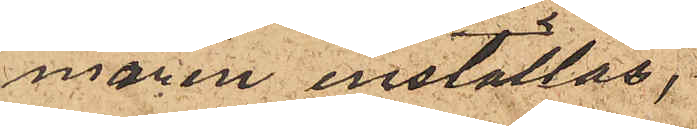maren inställas.
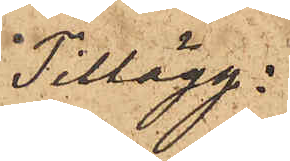Tillägg:
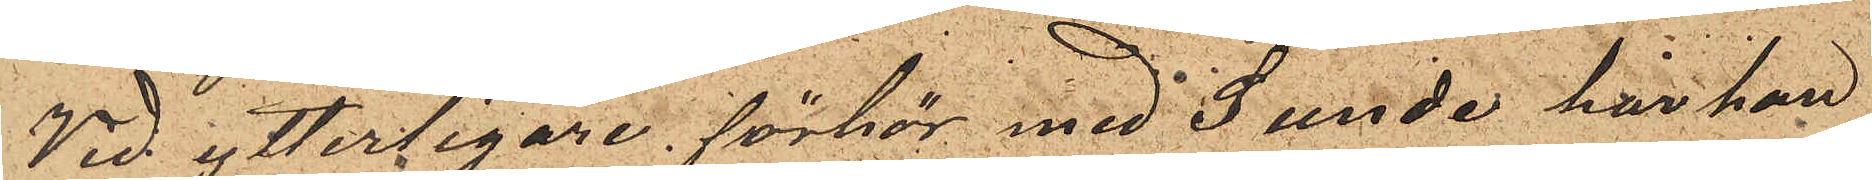Vid ytterligare förhör med Sunde har han
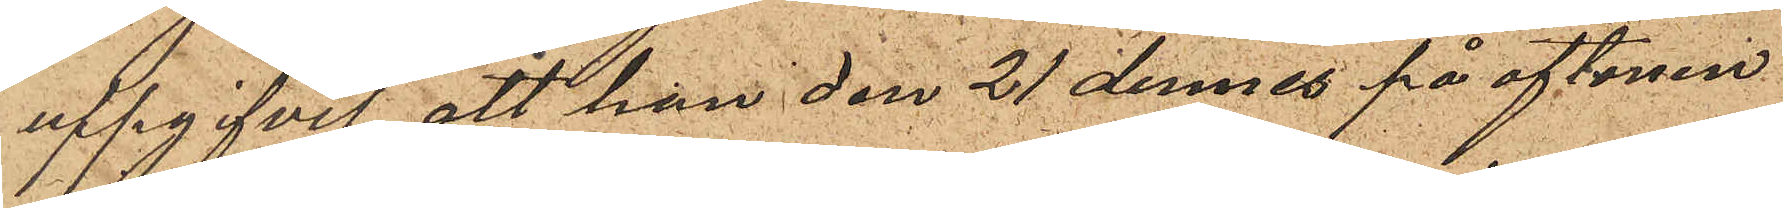uppgifvit att han den 21 dennes på aftonen
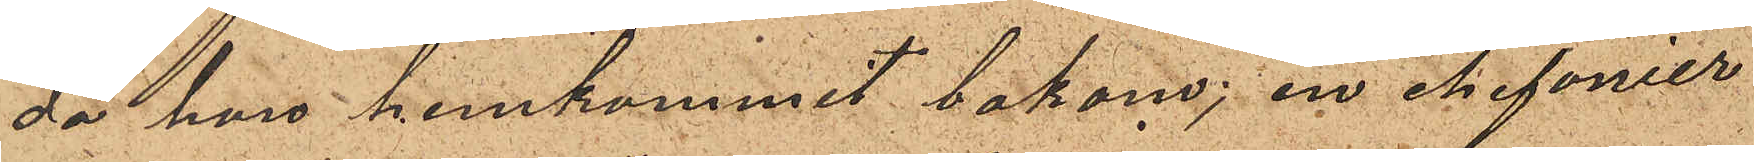då han hemkommit bakom; en chifonier
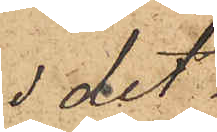i det
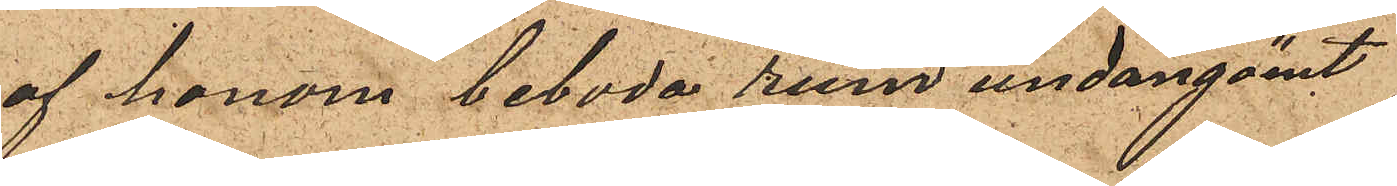af honom beboda rum undangömt
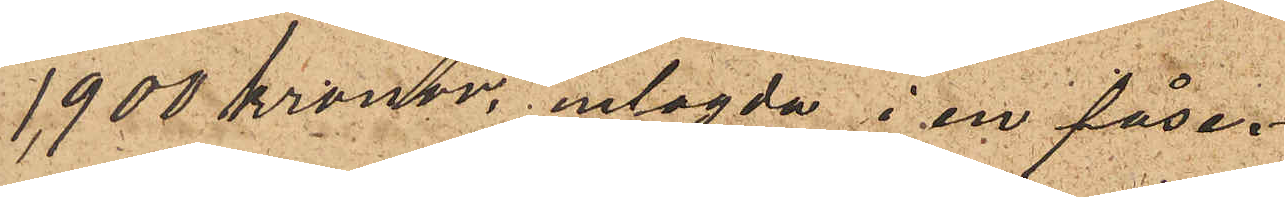1900 kronor, inlagda i en påse.
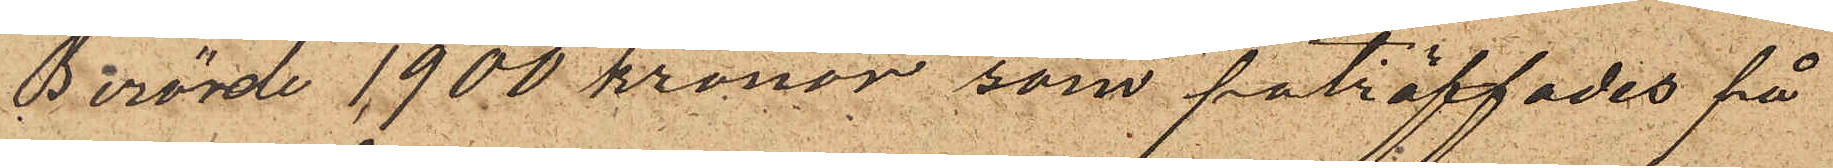Berörde 1900 kronor som påträffades på
